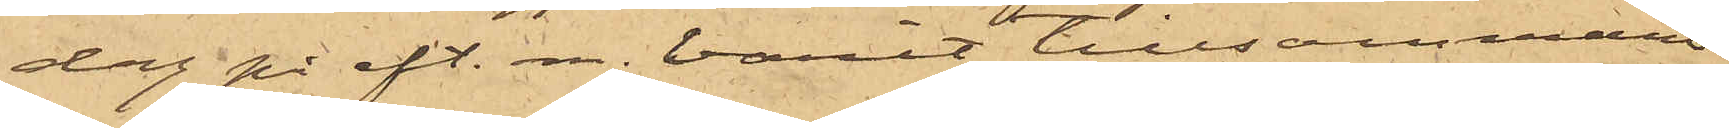dag på eft.m. varit tillsammans
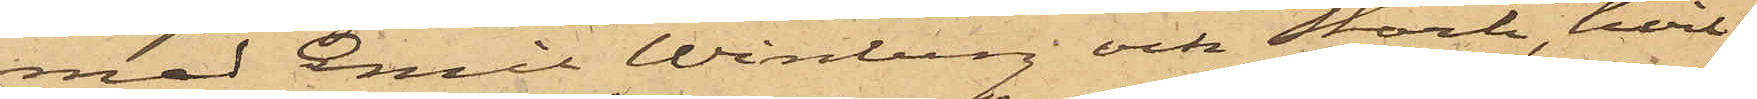med Emil Winberg och Stark, hvil¬
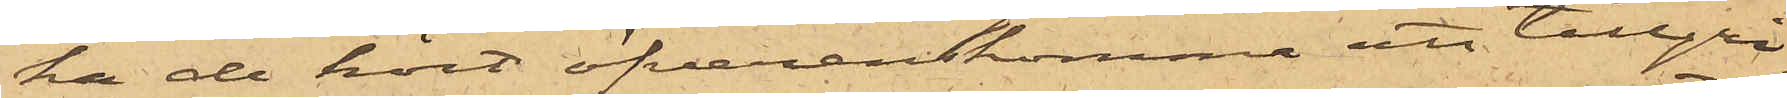ka de hört öfverenskomma att tillgri¬
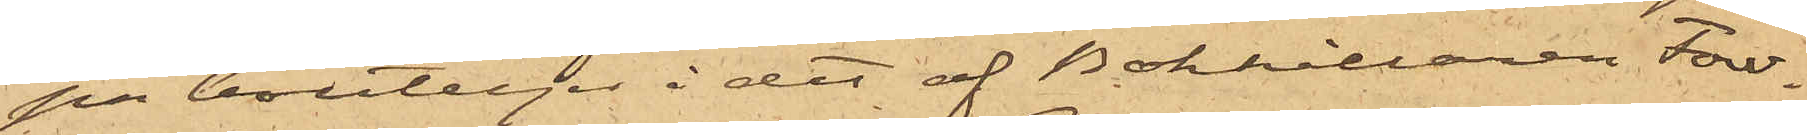pa bouteljer i det af Bokhållaren Fow¬
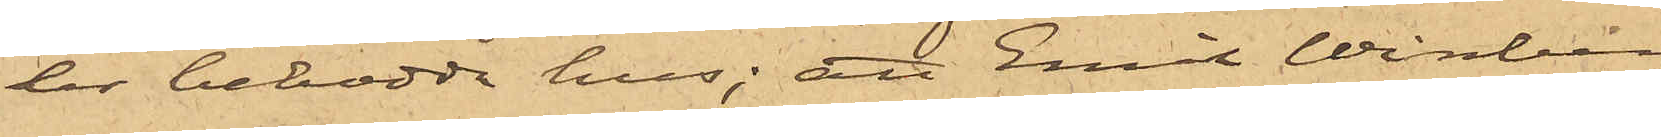ler bebodda hus; att Emil Winberg
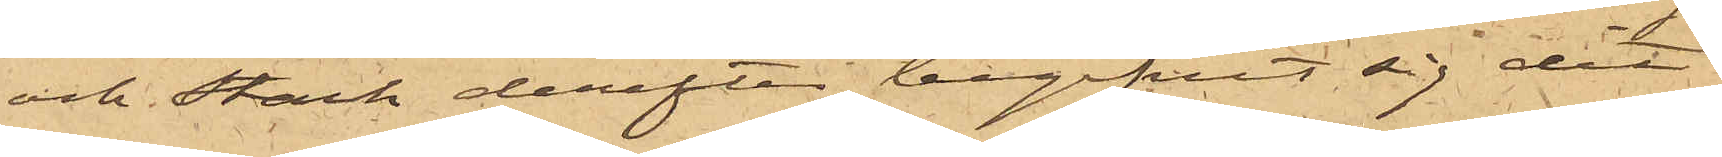och Stark derefter begifvit sig dit,
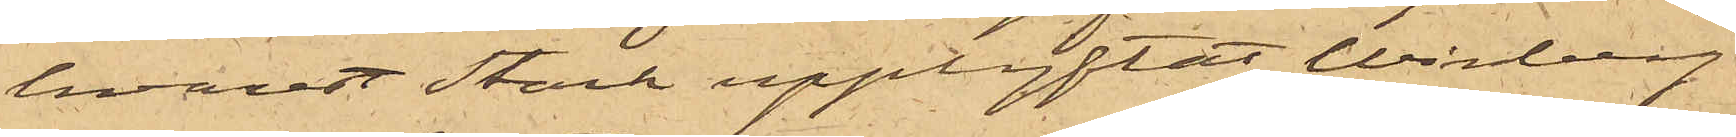hvarest Stark upplyftat Winberg
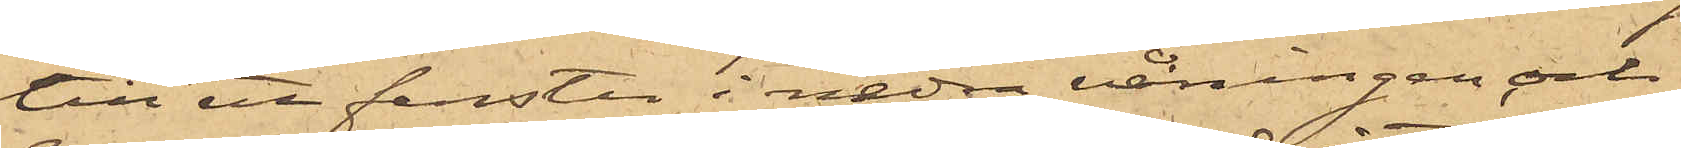till ett fonster i nedre våningen och
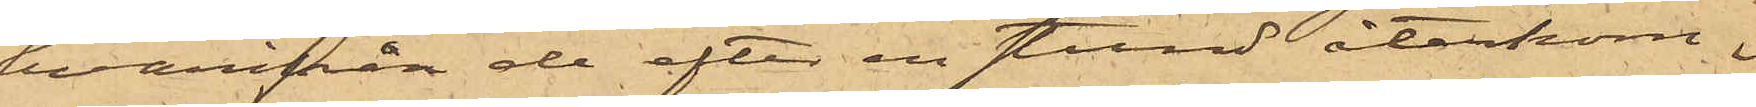hvarifrån de efter en stund återkom¬
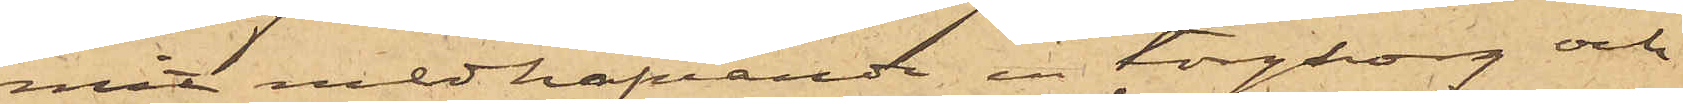mit medhafvande en torgkorg och
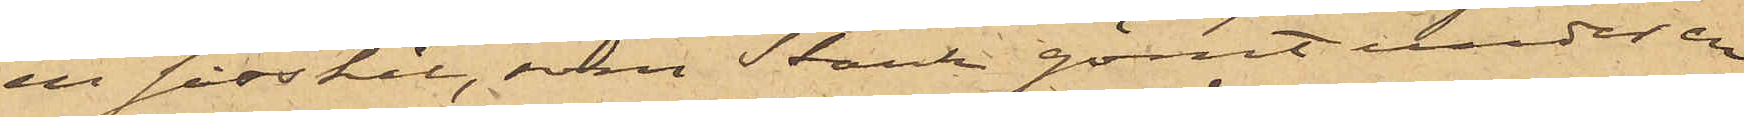en såsskål, vilka Stark gömt under en
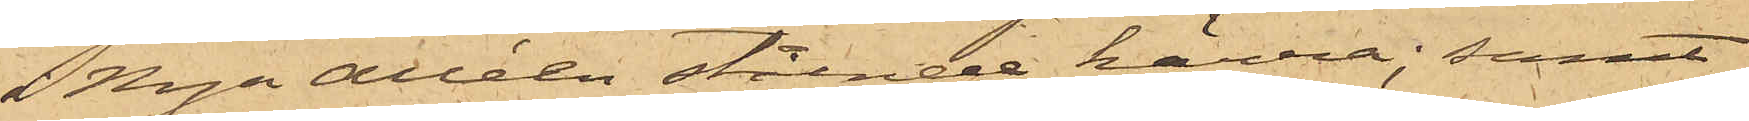i Nya Alléen stående kärra; samt
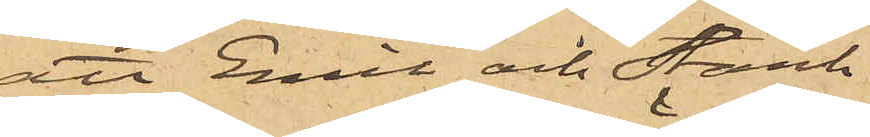att Emil och Stark
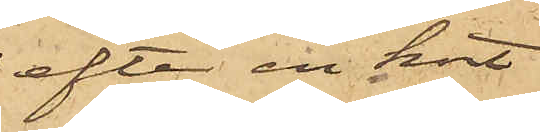efter en kort
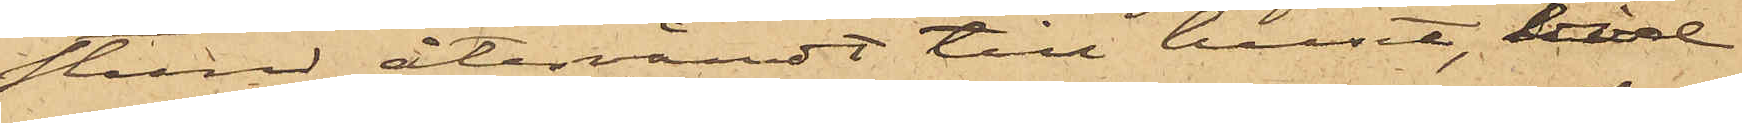stund återvändt till huset, hvid
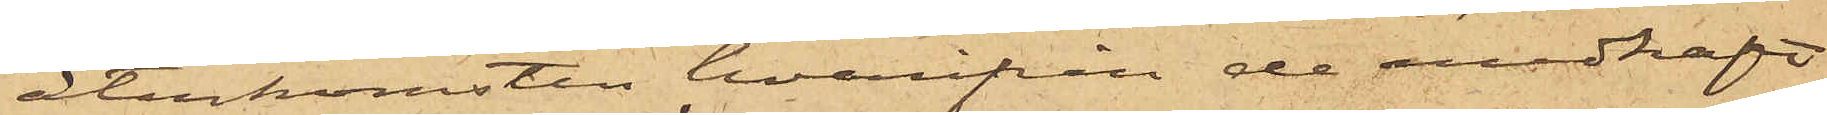återkomsten hvarifrån de medhaft
